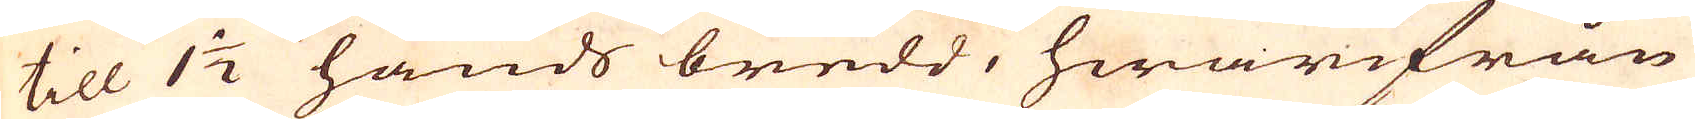till 1 1/2 hands bredd, hwarifrån
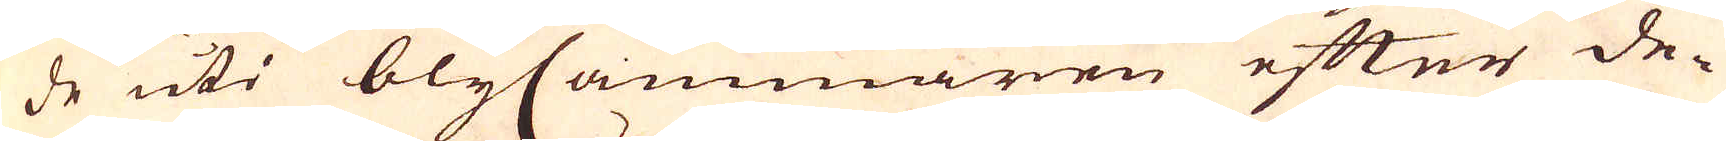de uti blyCammaren efter de-
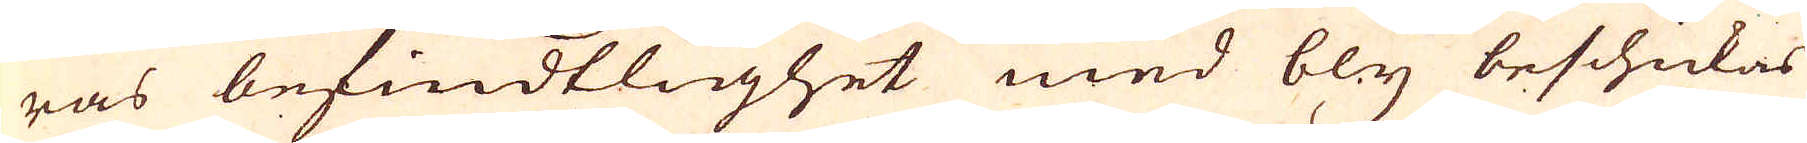ras befindtlighet med bly beschickas
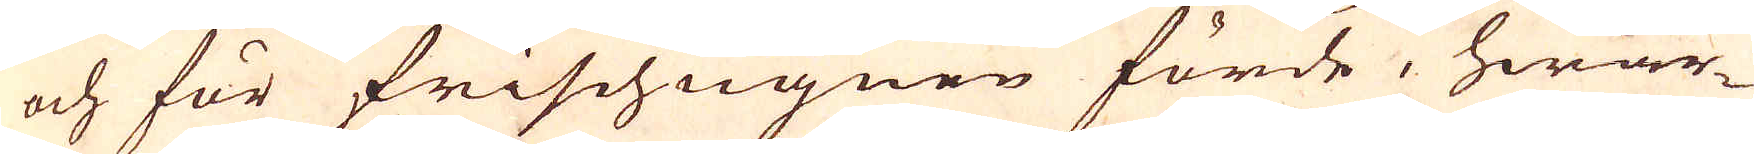och för frischugnen förde, hwar-
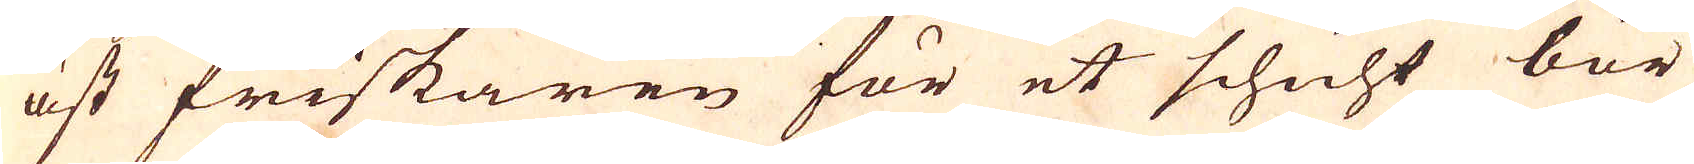äst friskaren för et schicht bör
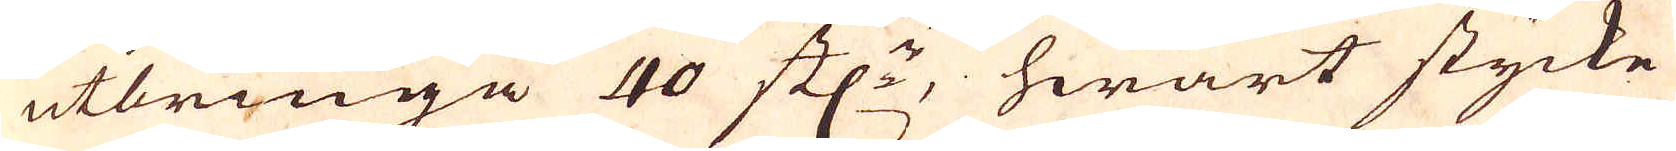utbringa 40 st:n hwart stycke
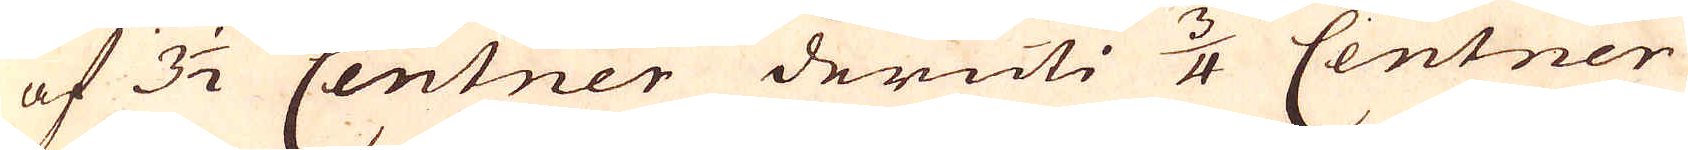af 3 1/2 Centner deruti 3/4 Centner
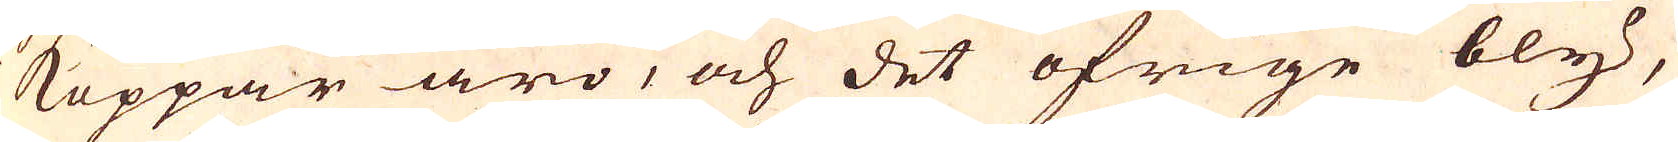Koppar äro, och det öfrige bly,
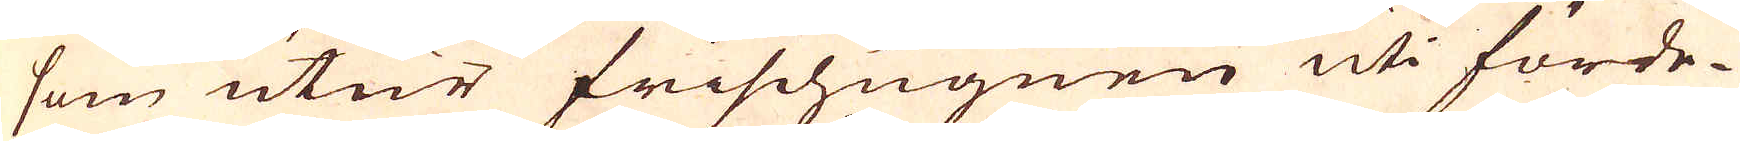som utur frischugnen uti förde-
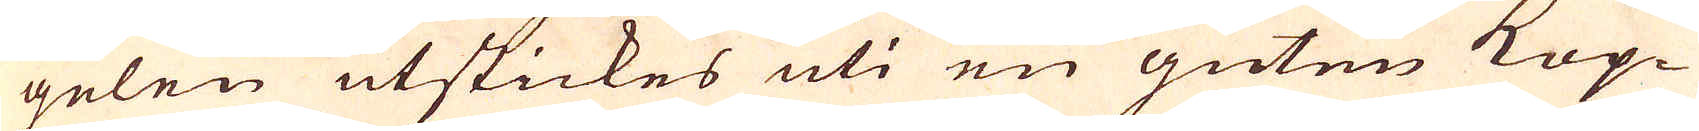gelen utskickes uti en guten Kop-
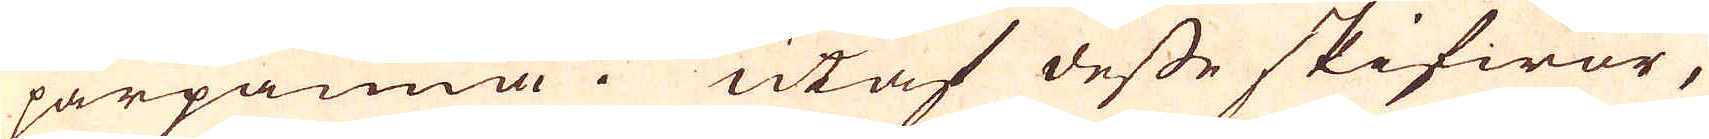parpanna. utaf desse skifwor,
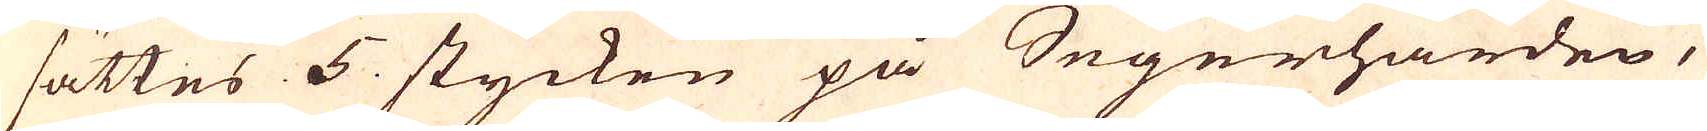sättes 5. stycken på Segerhärden,
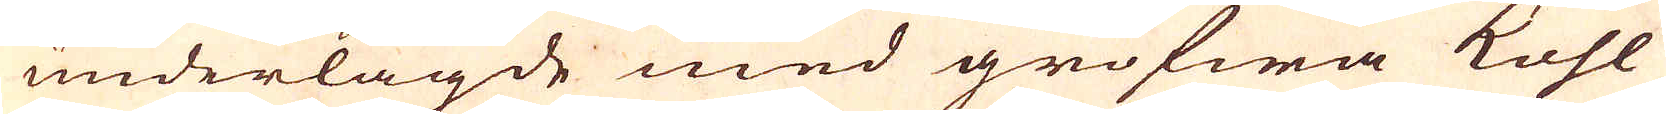underlagde med grofwa kohl
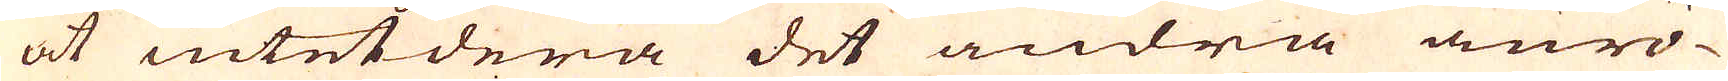at intetdera det andra änrö-
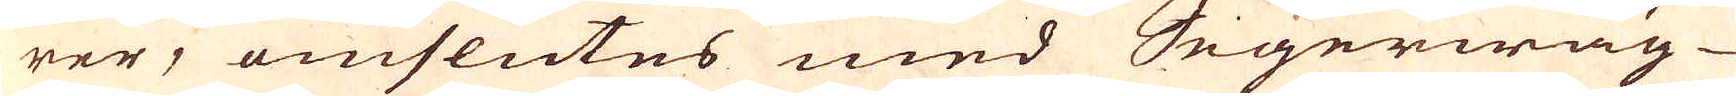rer, omslutes med Segerwäg-
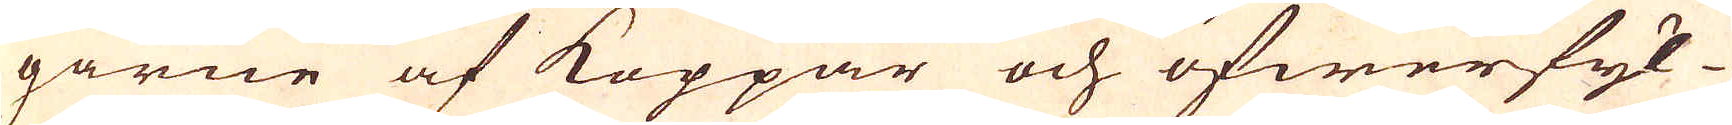garne af Koppar och öfwerfyl-
